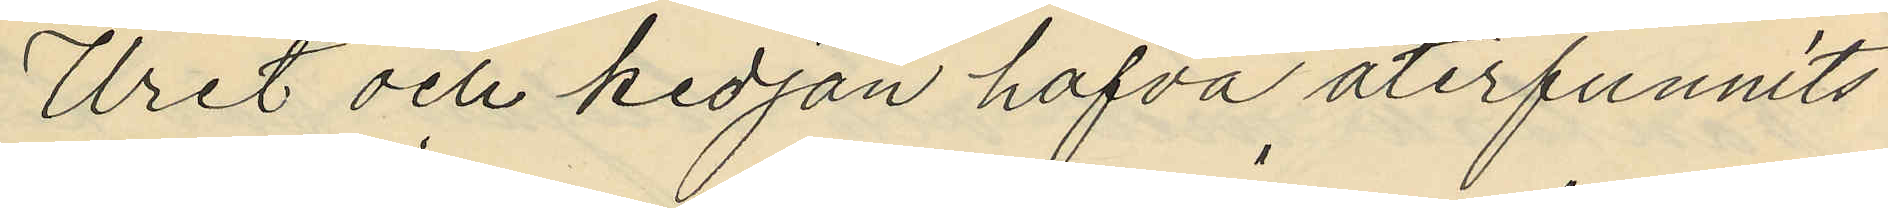Uret och kedjan hafva återfunnits
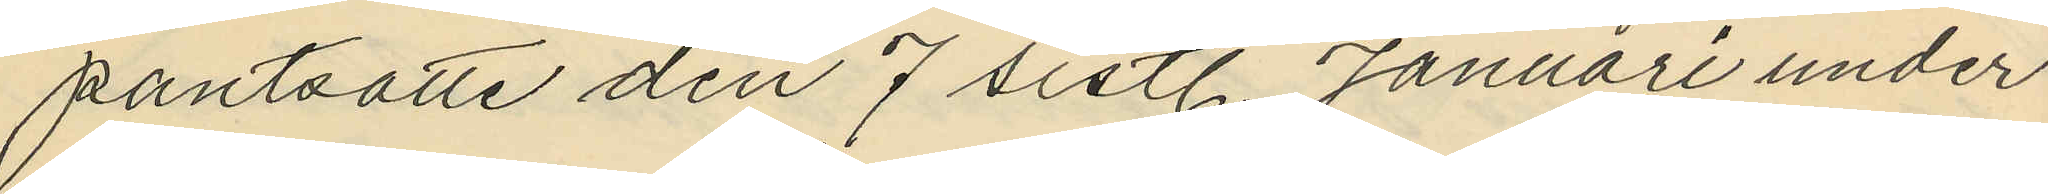pantsatte den 7 sistl. Januari under
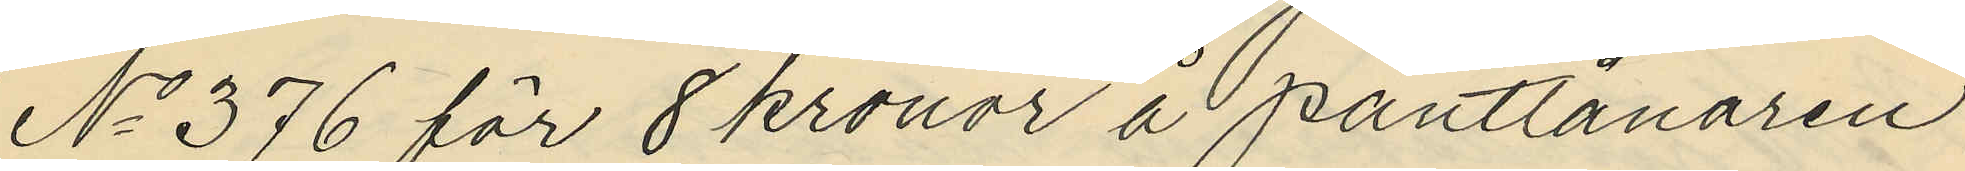No 376 för 8 kronor å pantlånaren
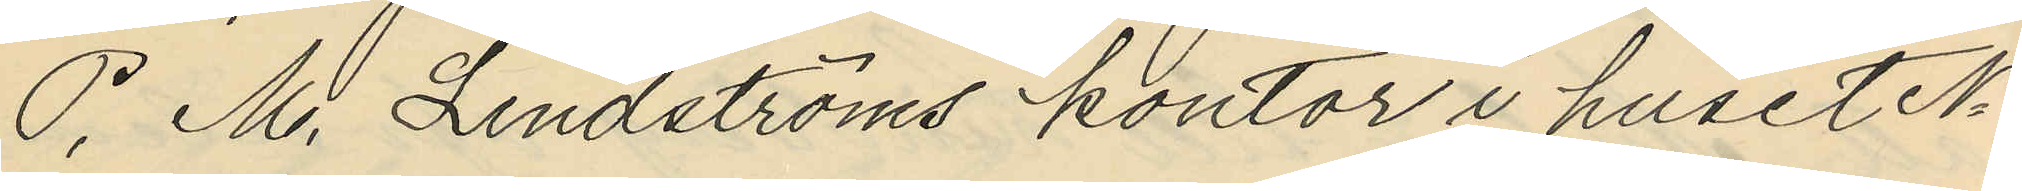P. M. Lindströms kontor i huset No
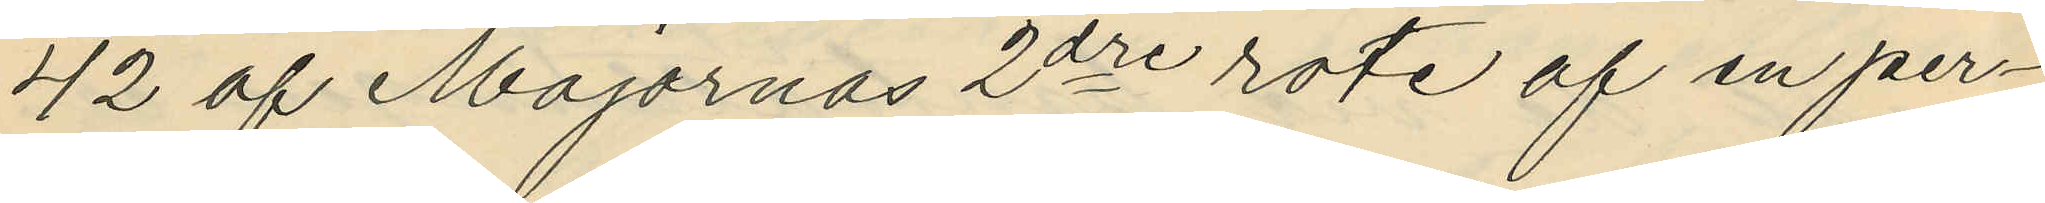42 af Majornas 2dre rote af en per¬
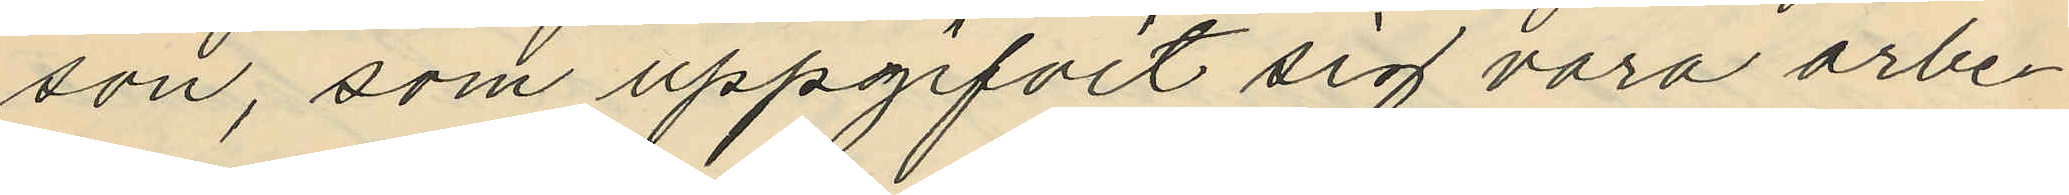son, som uppgifvit sig vara arbe¬
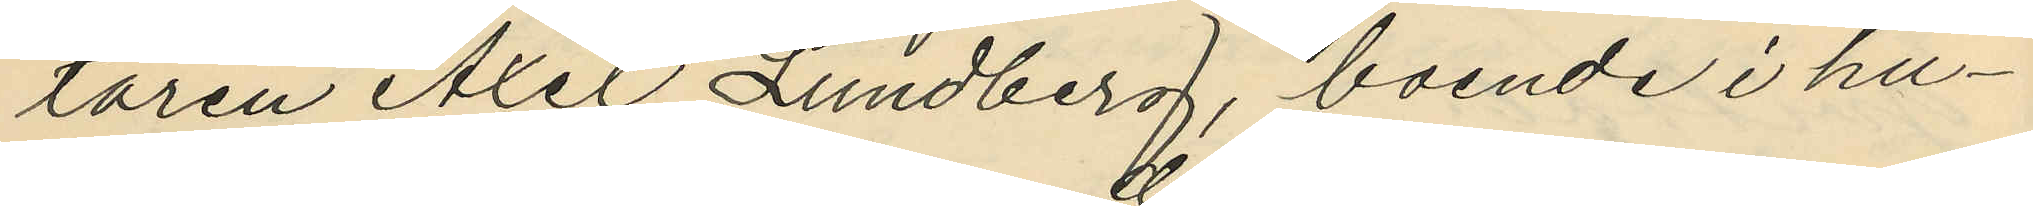taren Axel Lundberg, boende i hu¬
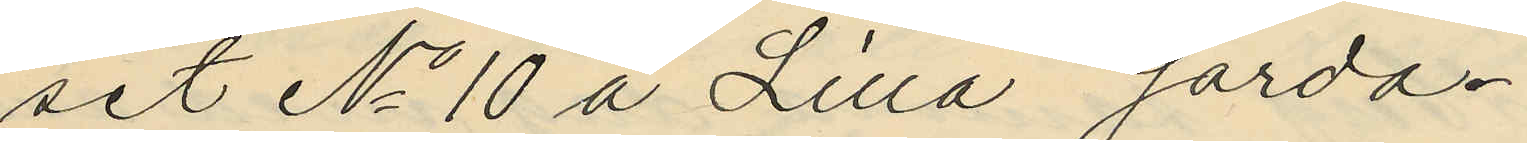set No 10 å Lilla Gårda.
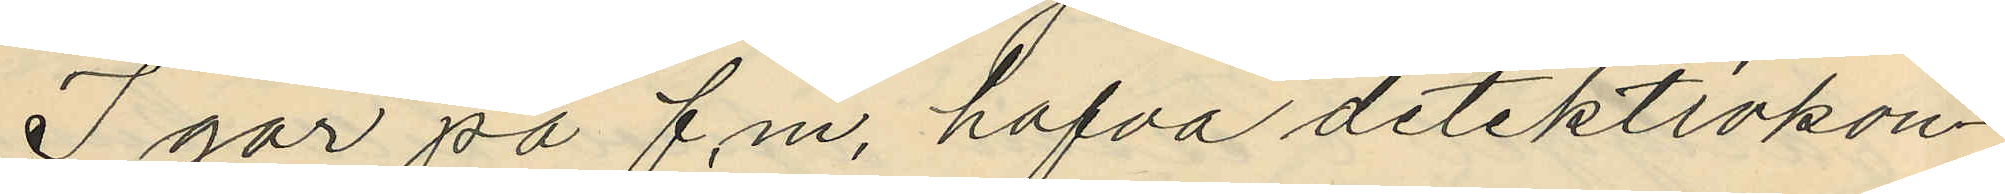I går på f.m. hafva detektivkon¬
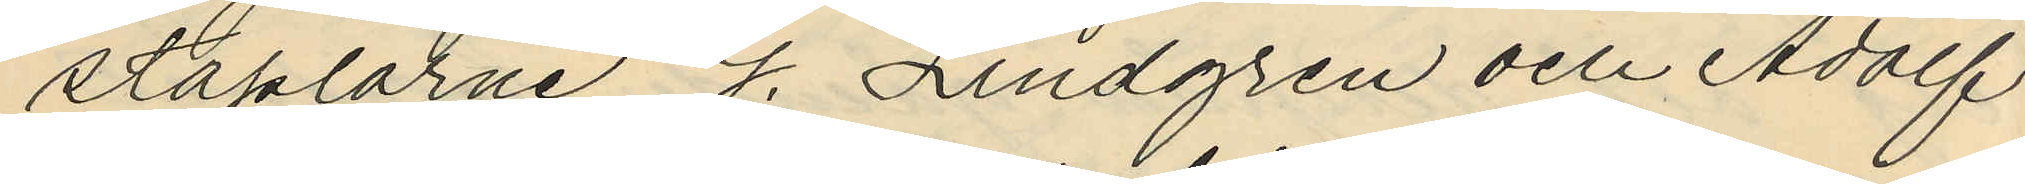taplarne G. Lindgren och Adolf
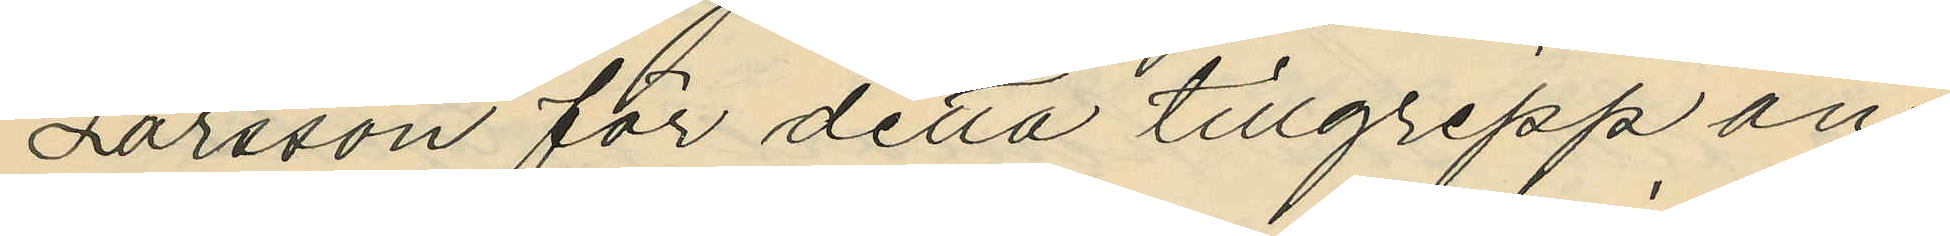Larsson för detta tillgrepp an¬
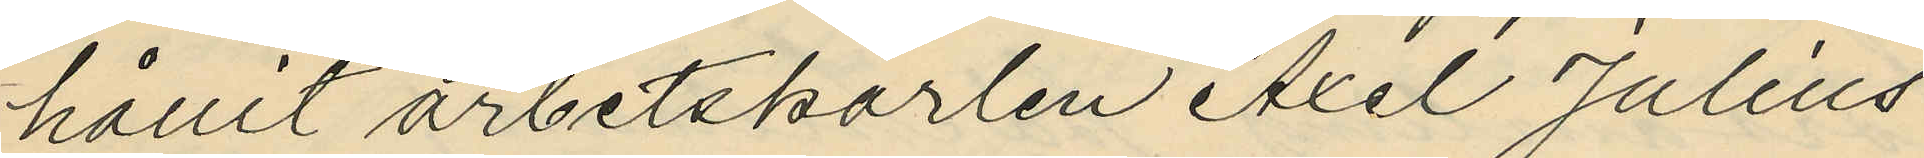hållit arbetskarlen Axel Julius
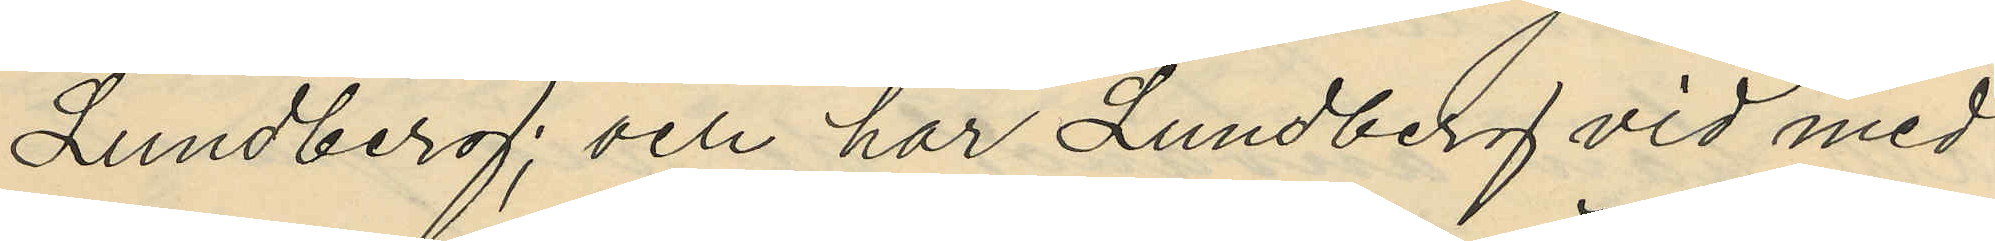Lundberg; och har Lundberg vid med
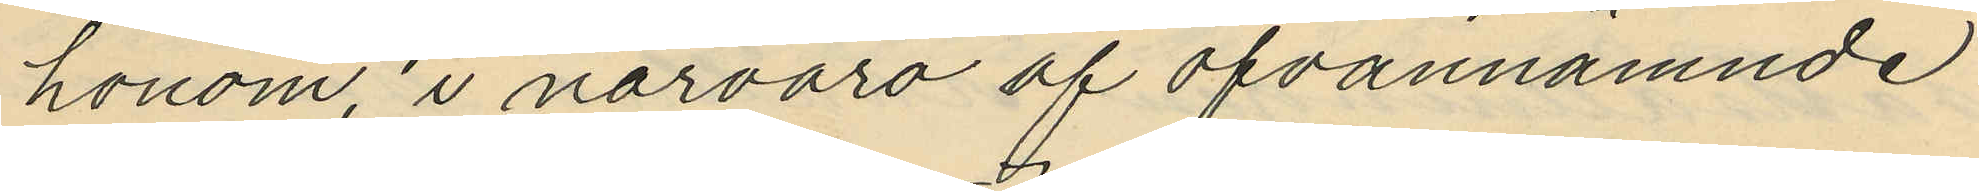honom, i närvaro af ofvannämnde
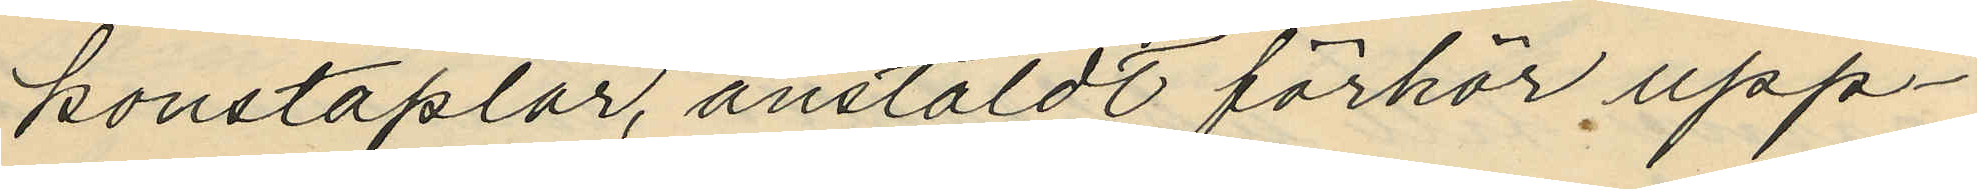konstaplar, anstäldt förhör upp¬
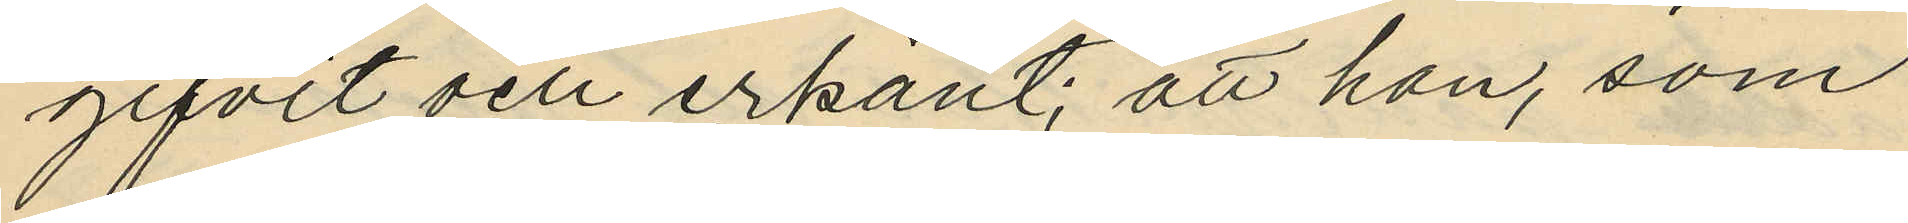gifvit och erkänt, att han, som
